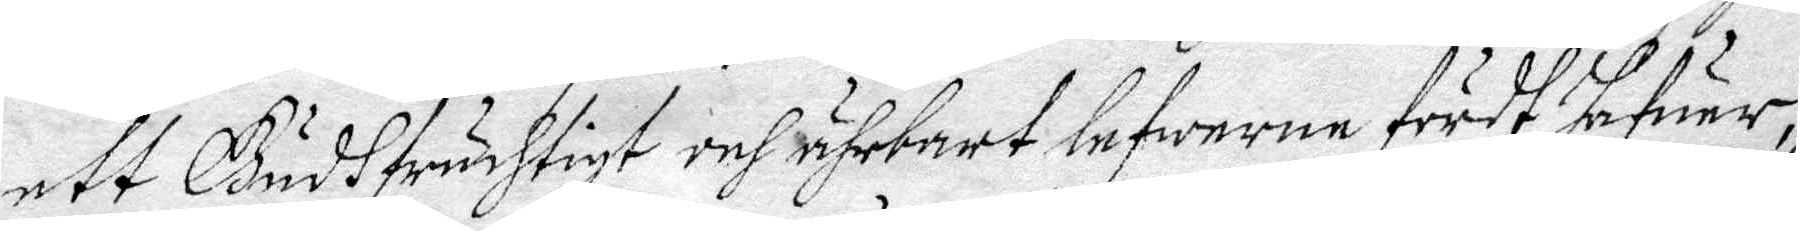ett Gudhfruchtigt och ährnart lefwerne fördt hafuer,
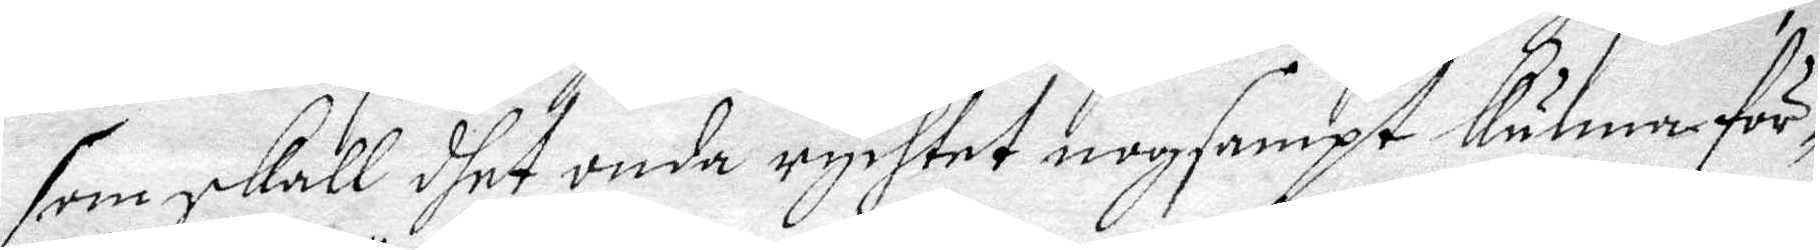som skall dhet inda rychtet nogsampt kunna för¬
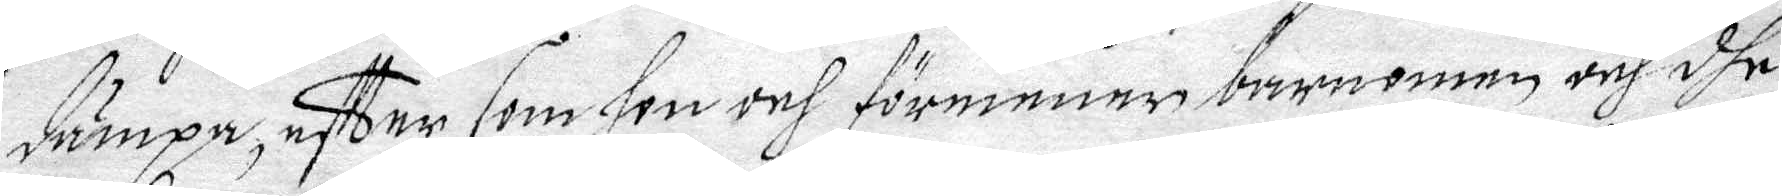dämpa, effter som hon och förmenar barnenen och dhe
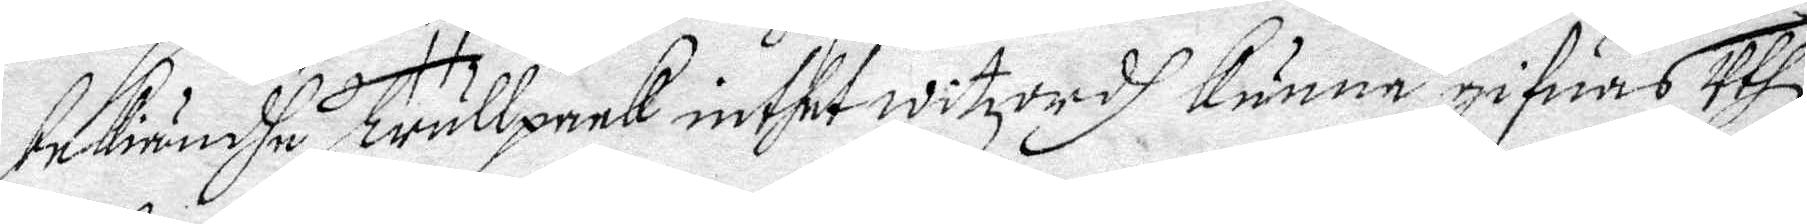bekiändhe trullpack inthet witzordh kunna gifwuas uthi
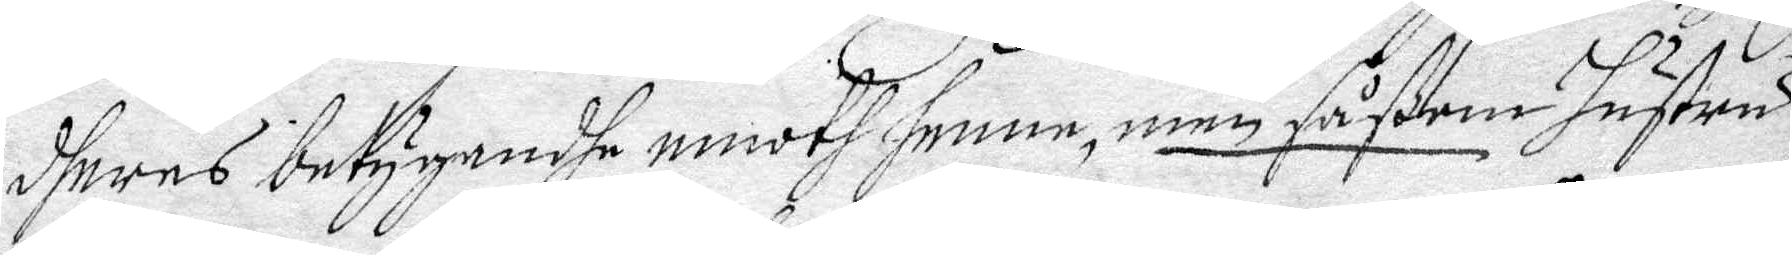dheres betygandhe emoth henne, men såßom hustru
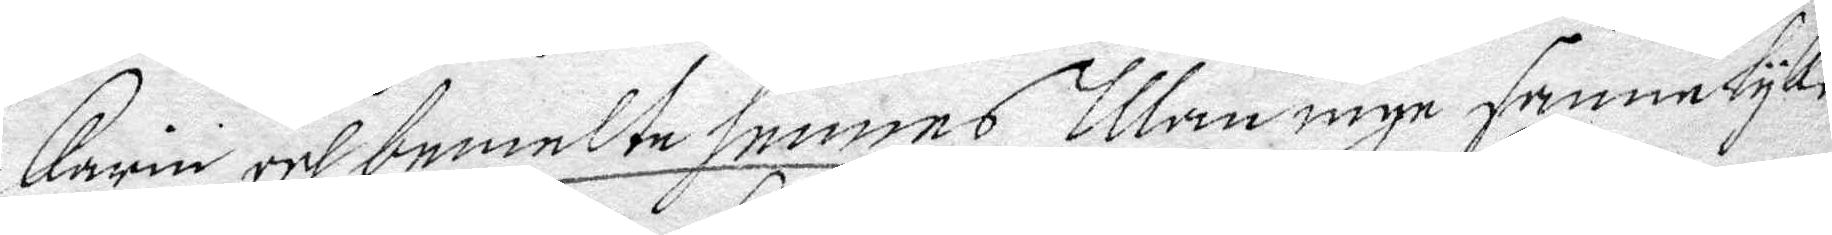Carin och bemelte hennes Man inge sannelyke
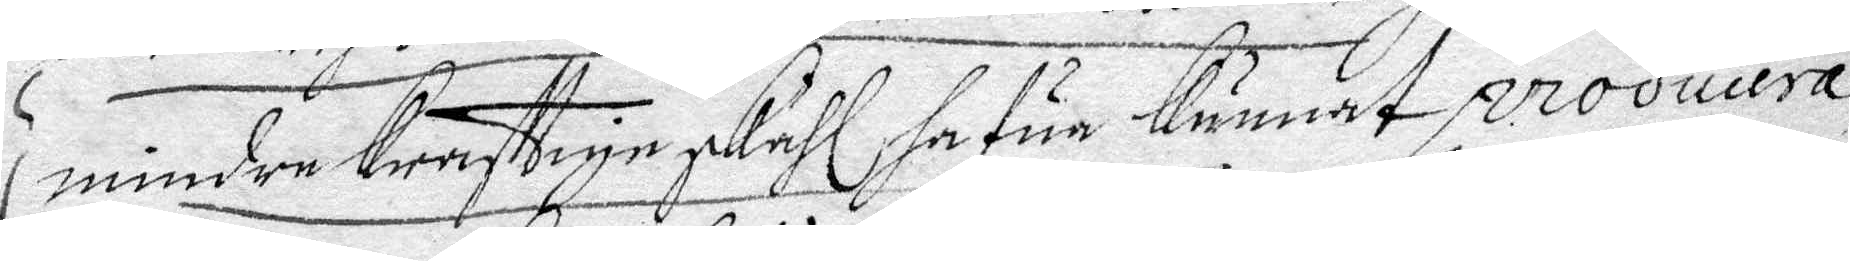mindre krafftige skiähl hafur kunnat producera,
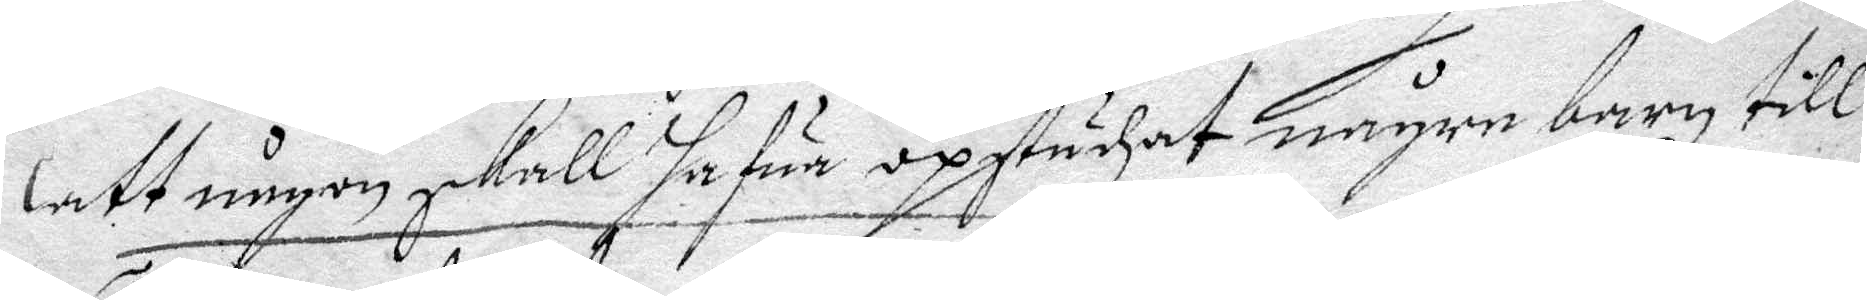att någon skall hafur opstudzat någre barn till
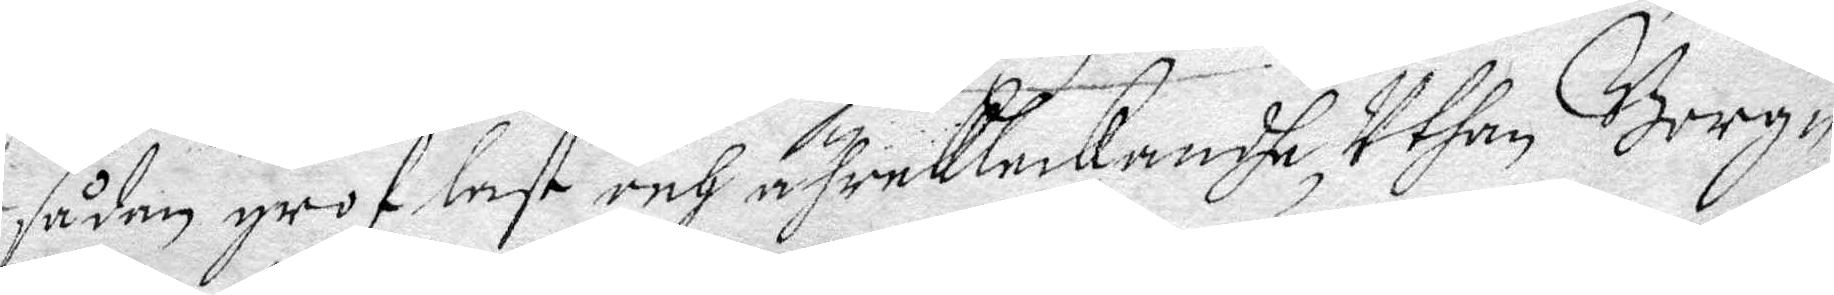sådan grof last och ährekleckandhe, Uthan Borg¬
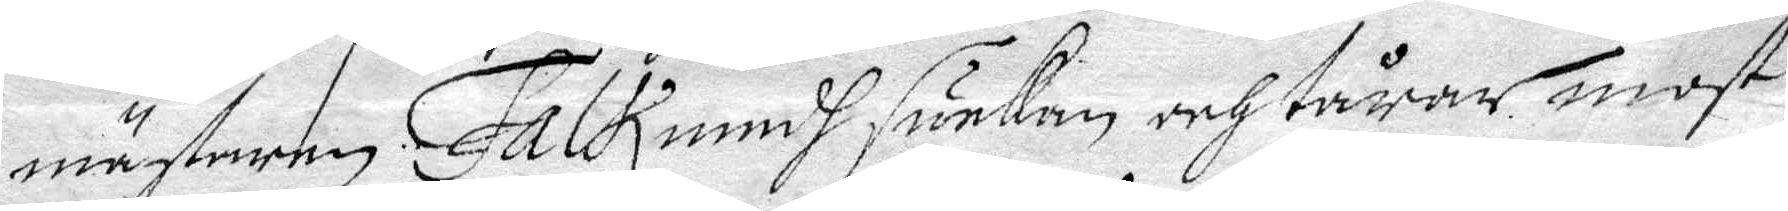mästaren Falk medh suckan och tårar most
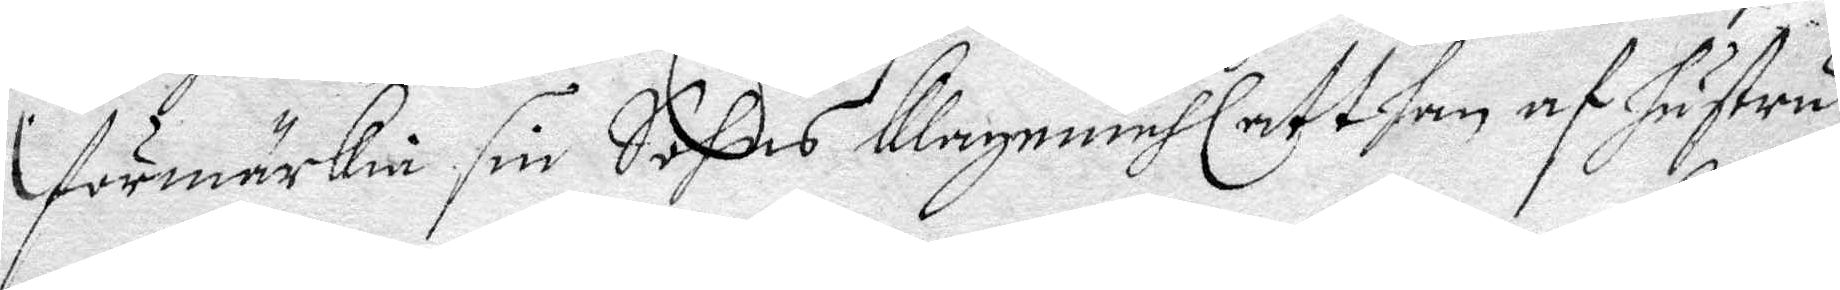förmärkia sin Sohns klagemåhl att han af hustru
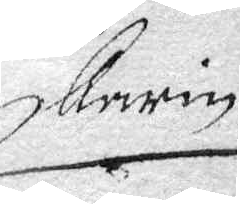Karin
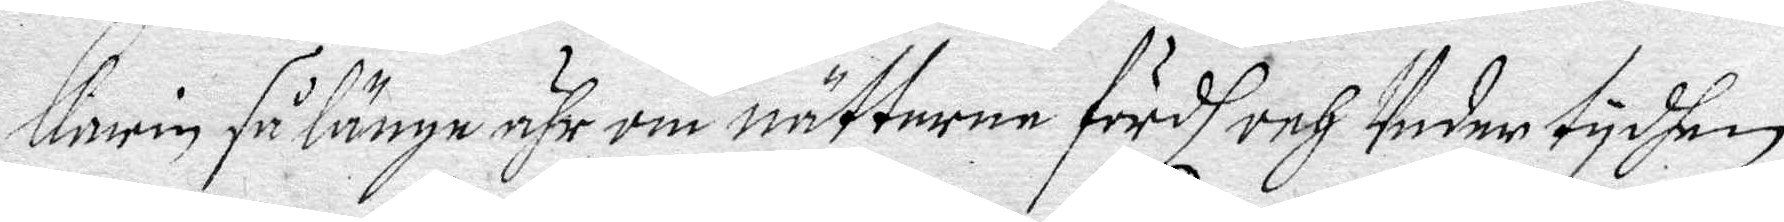karin så länge ähr om nätterne fördh och Under tydhen
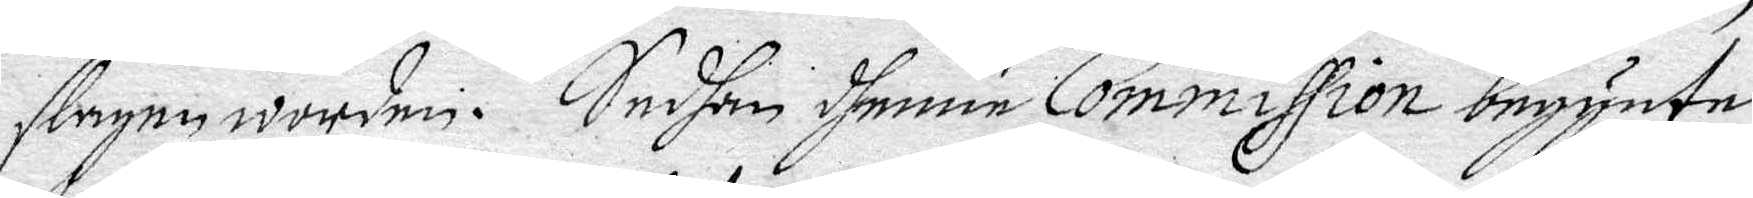slagne worden. Sedhan dhenne Commission begynte
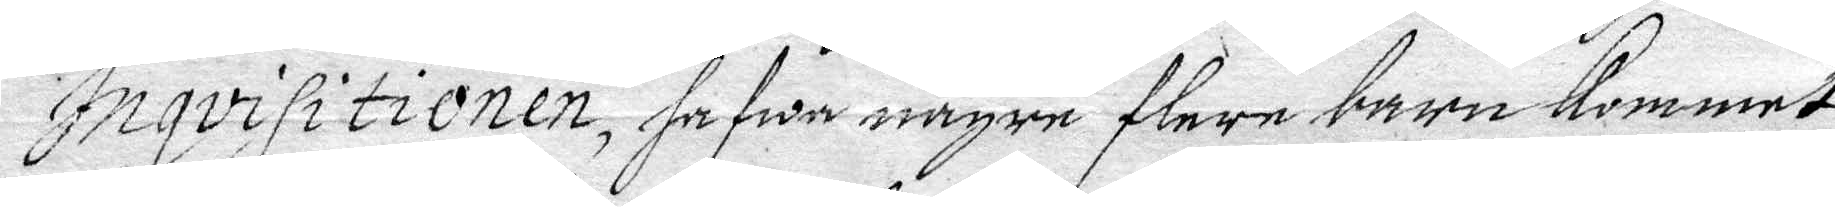Inqvisitionen hafwea någre flere barn kommet
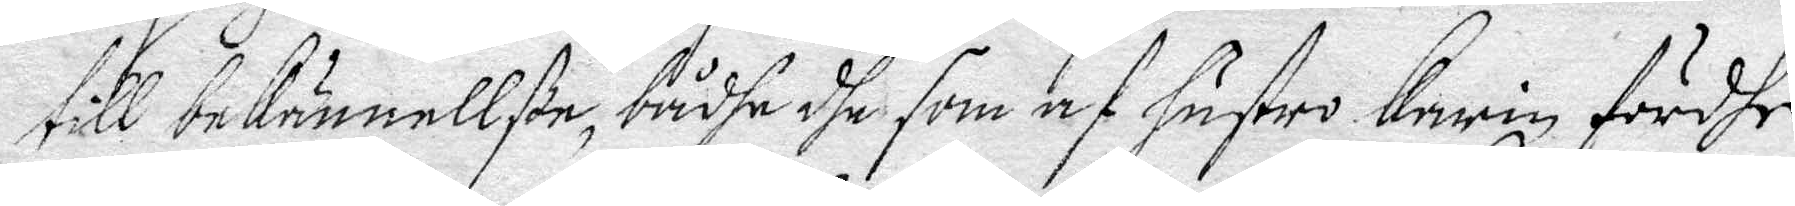till bekännellße, bådhe dhe som af hustru Karin fördhe
